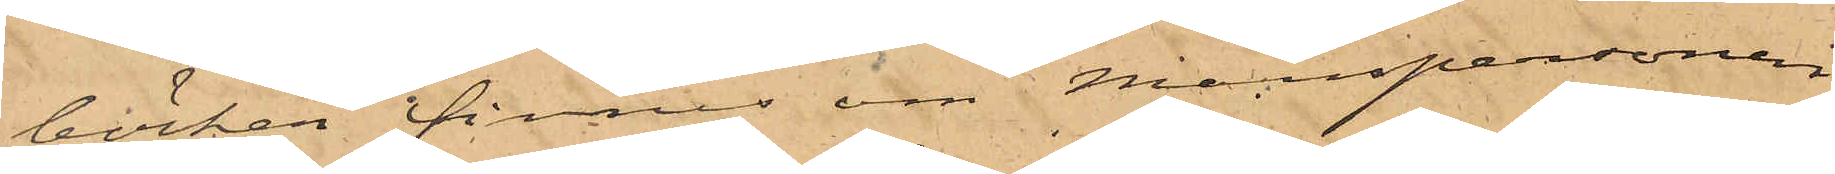böcker finnes om Manspersonen
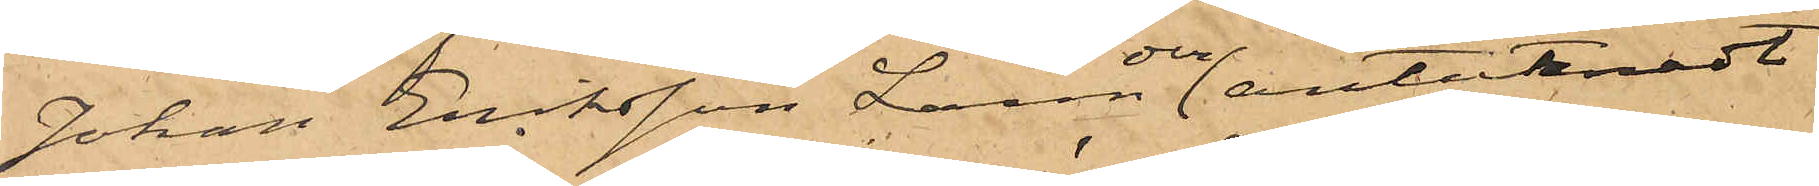Johan Eriksson Larm och antecknadt
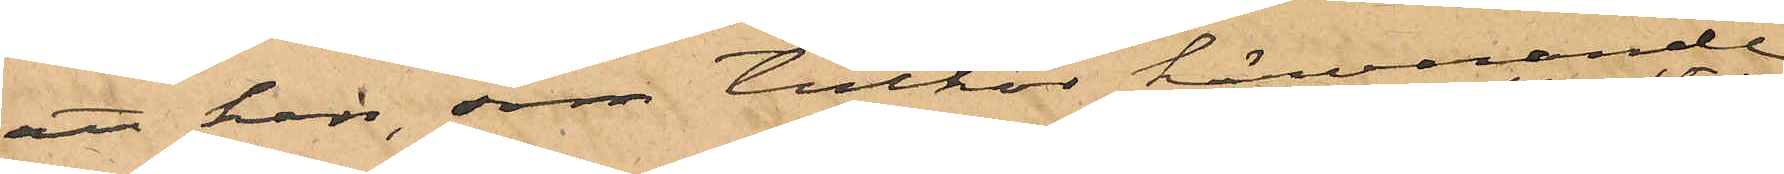att han, som tillhör härvarande
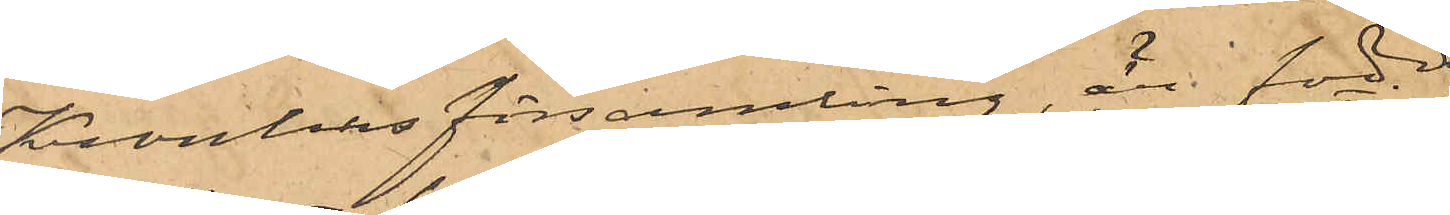Kronhus Församling är född
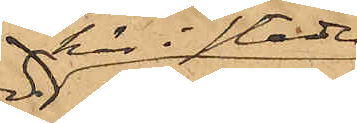här i staden
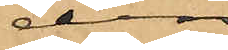den
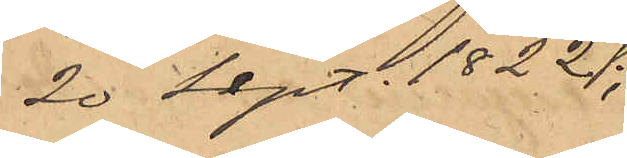20 Sept. 1822;
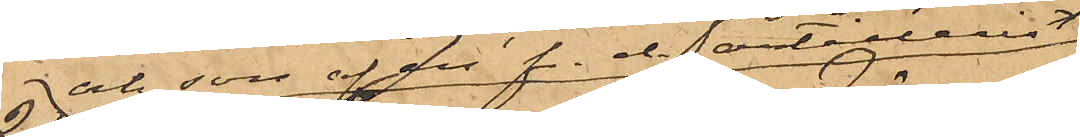och son af en f. d. artillerist
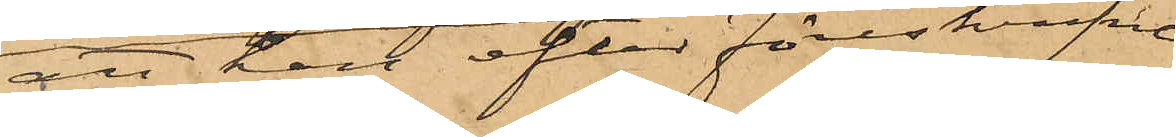att han efter föreskrifne
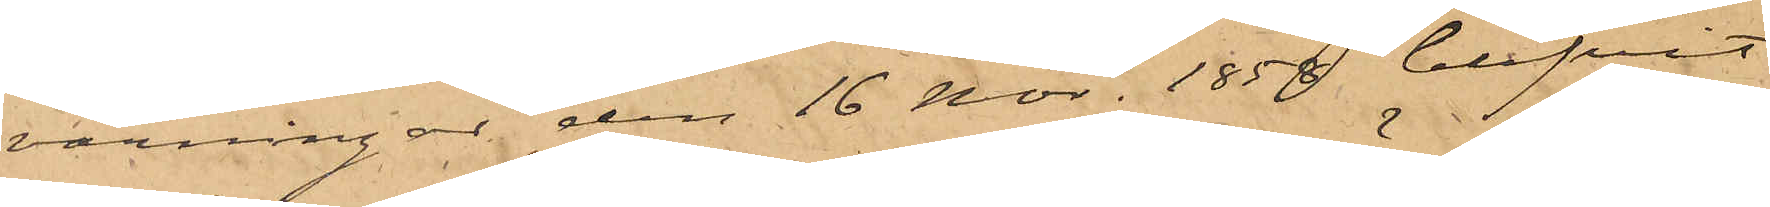varningar den 16 Nov. 1858 blifvit
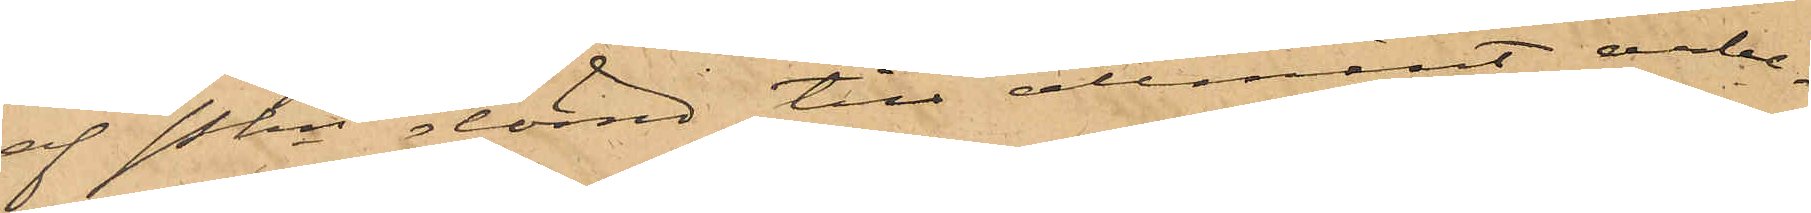af Pkn dömd till allmänt arbe¬
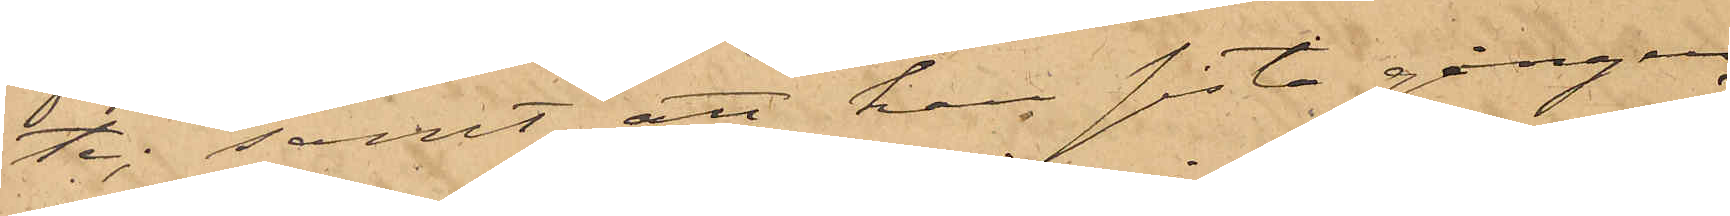te; samt att han sista gången
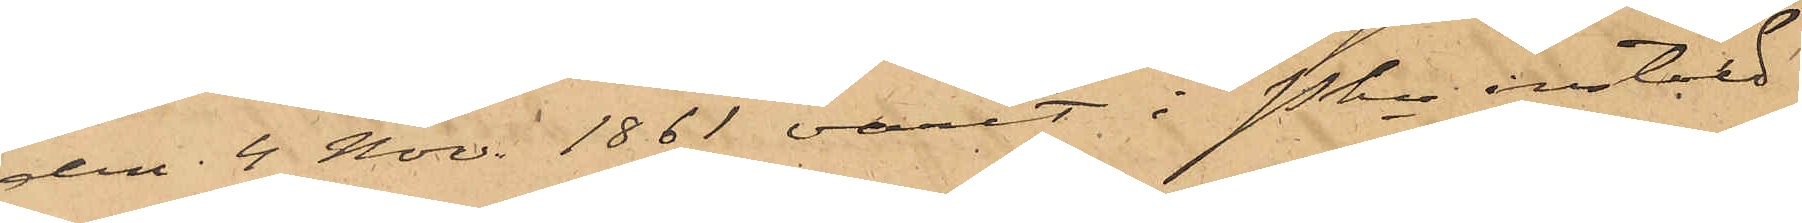den 4 Nov. 1861 varit i Pkn instäld
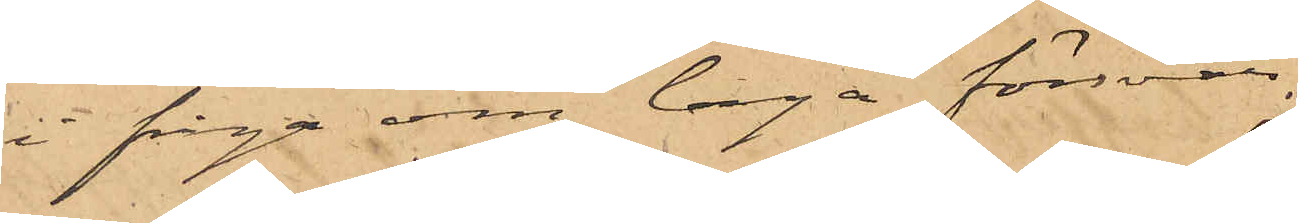i fråga om laga försvar.
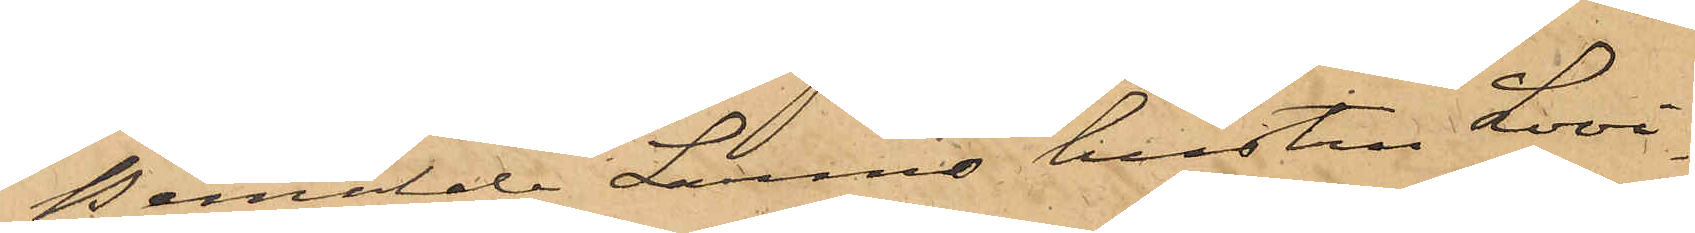Bemälde Larms hustru Lovi¬
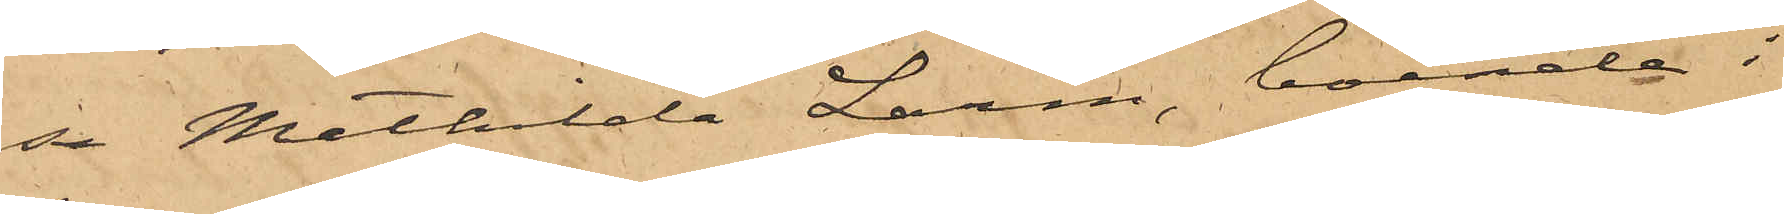sa Mathilda Larm, boende i
